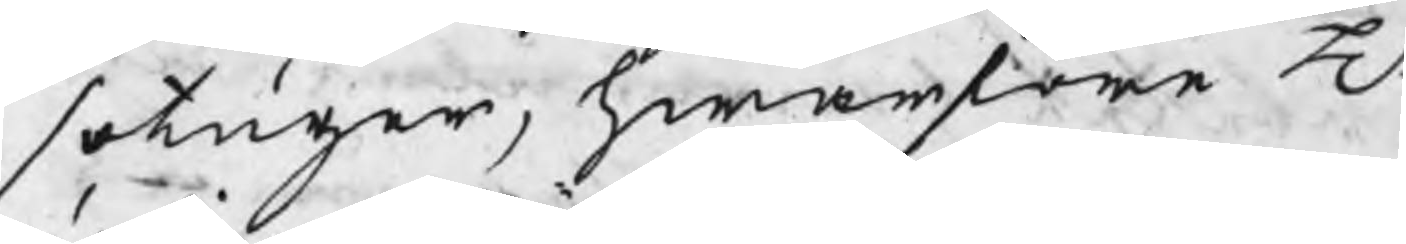sotiger, hwarföre H
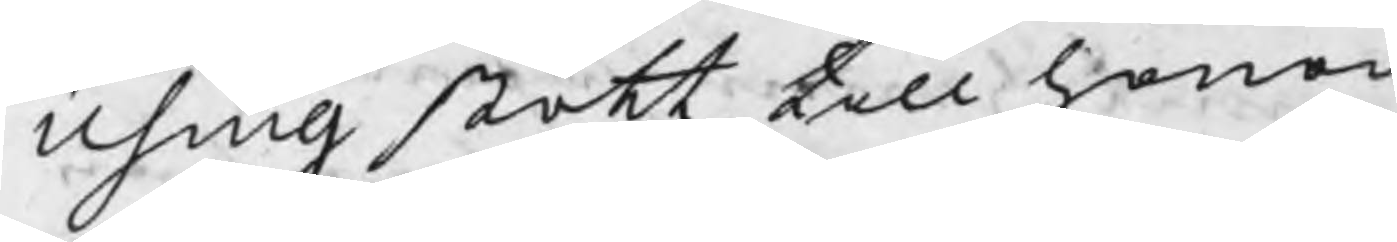Using stött till honom
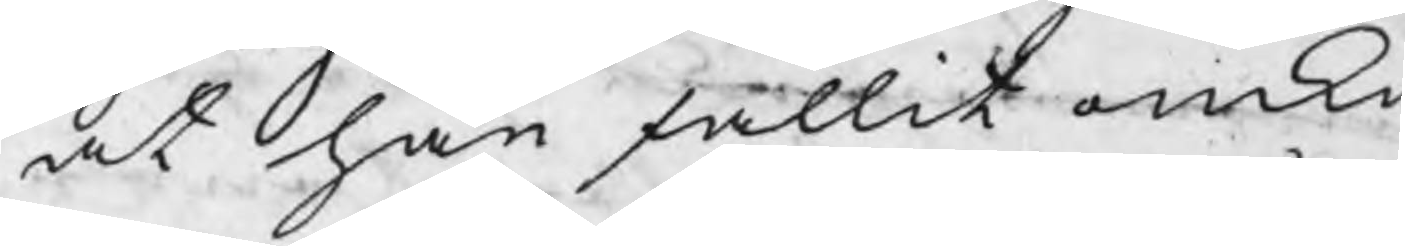at han fallit omku
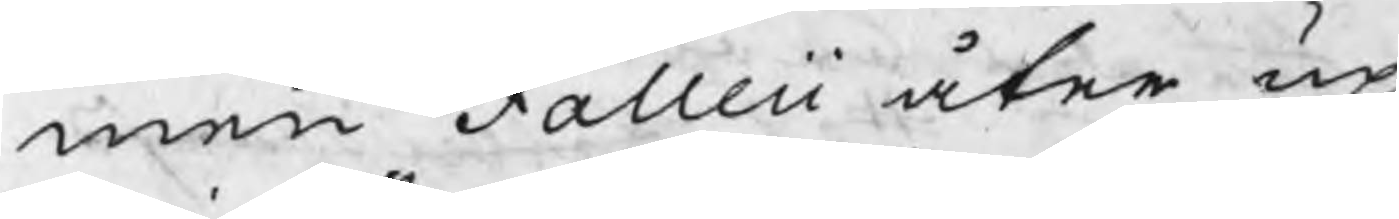men Falleii åter up
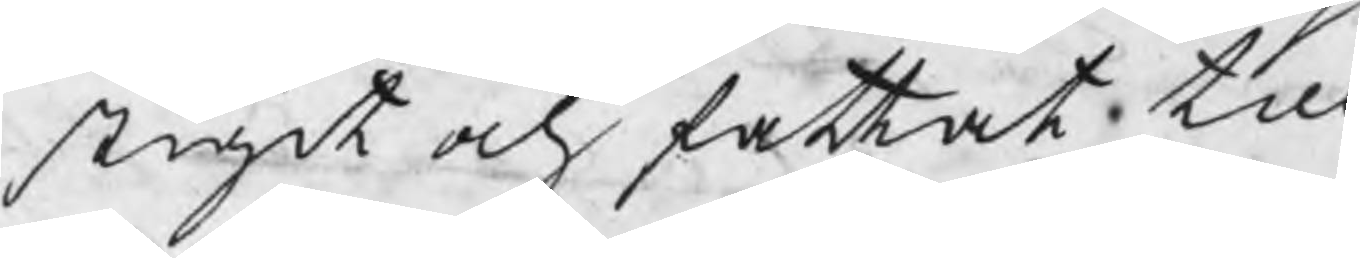stigit och fattat till
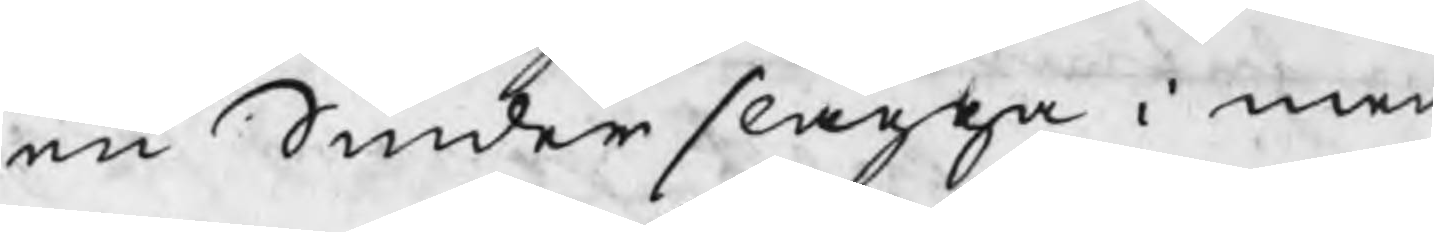en Smiderslagga i men
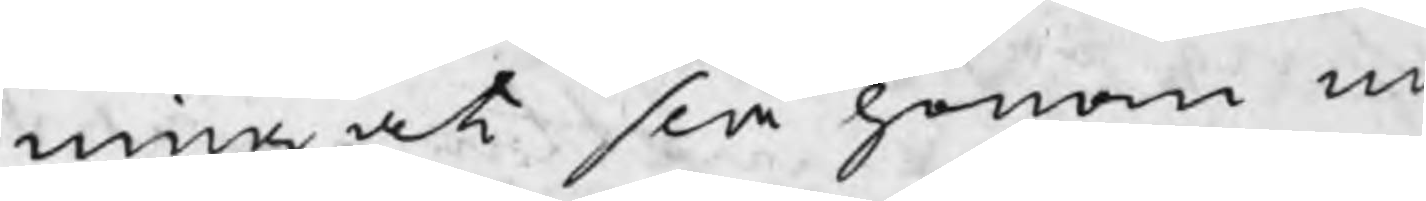ning at slå honom m
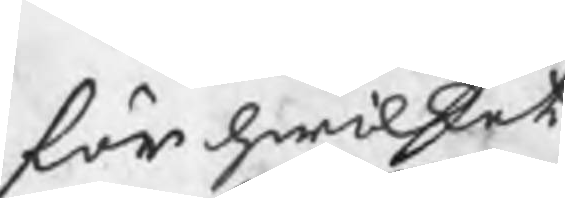för hwilket
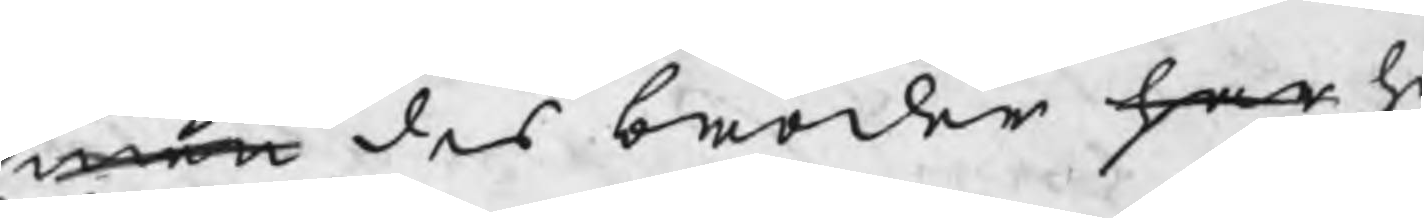men des broder har h
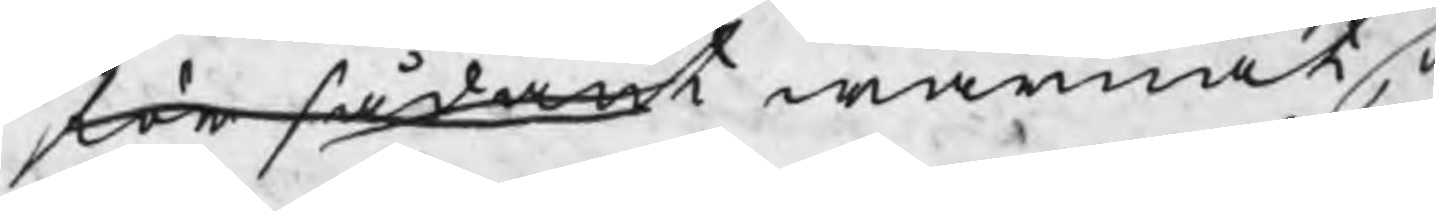för sådant warnat, 
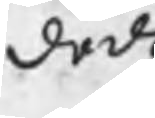dade
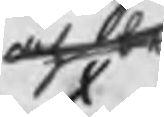och då
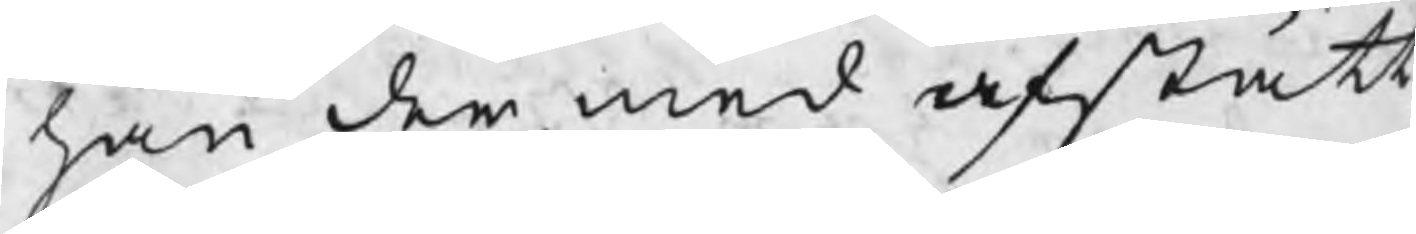han der med afstått
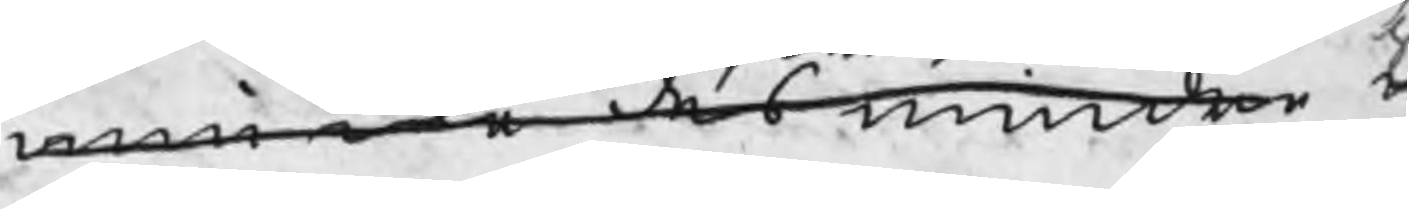men icke des mindre t
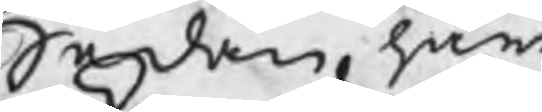Sedan han
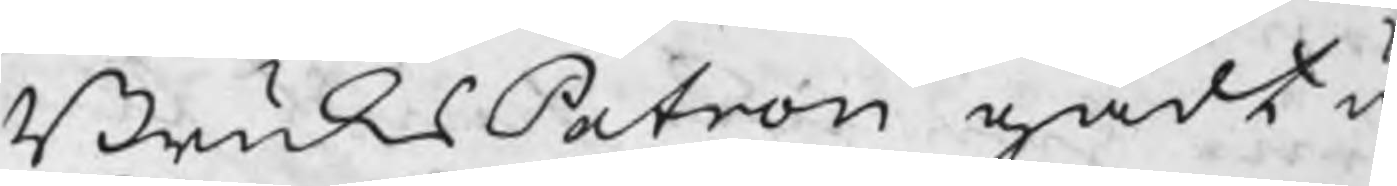BruksPatron gådt u
